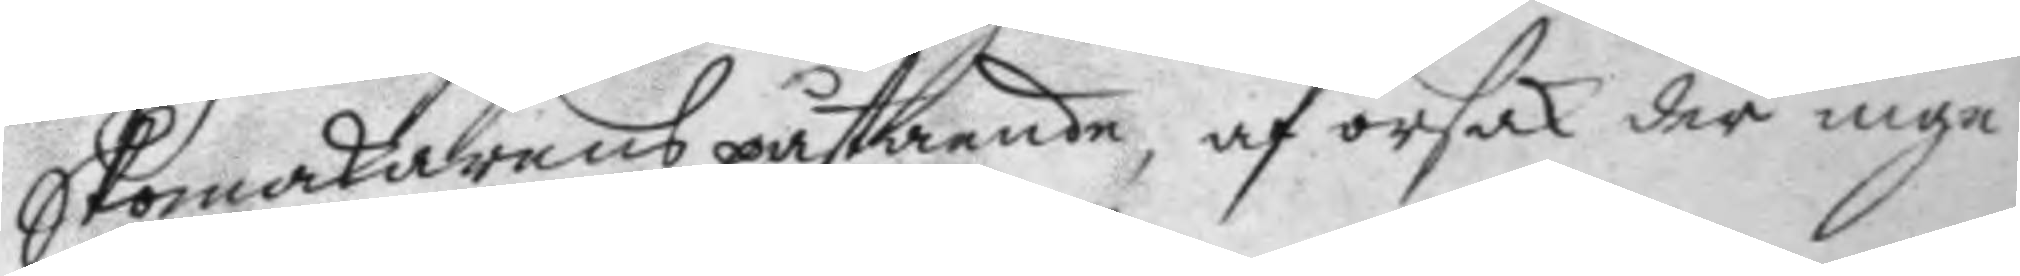Skomakarens påstående, af orsak der inga
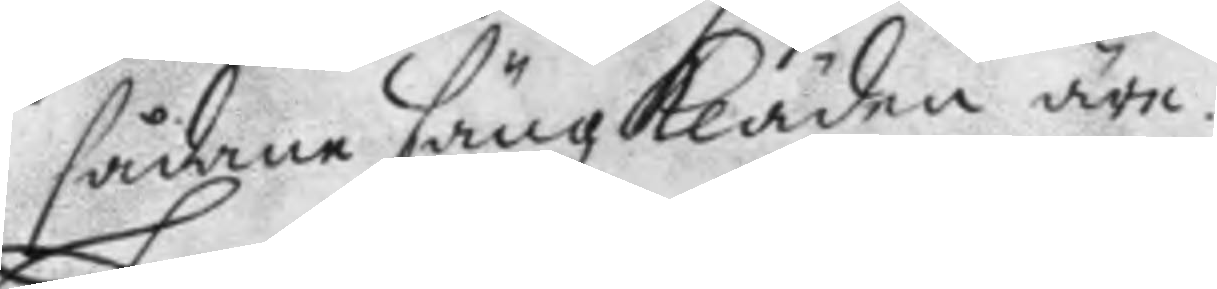sådane säng Kläden äre.
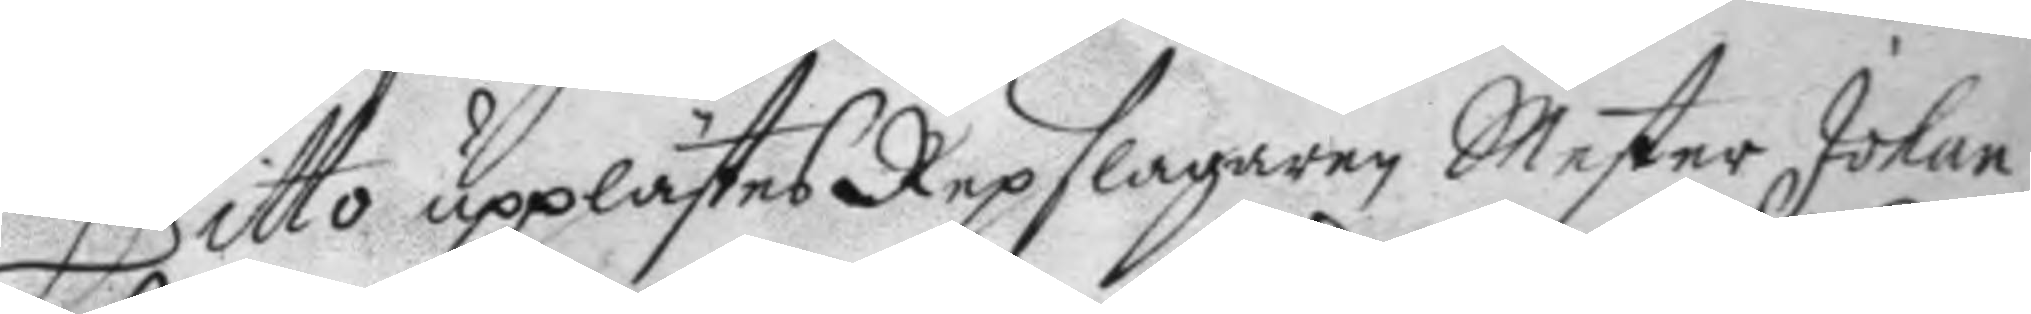Ditto upplästes Repslagaren Mester Johan
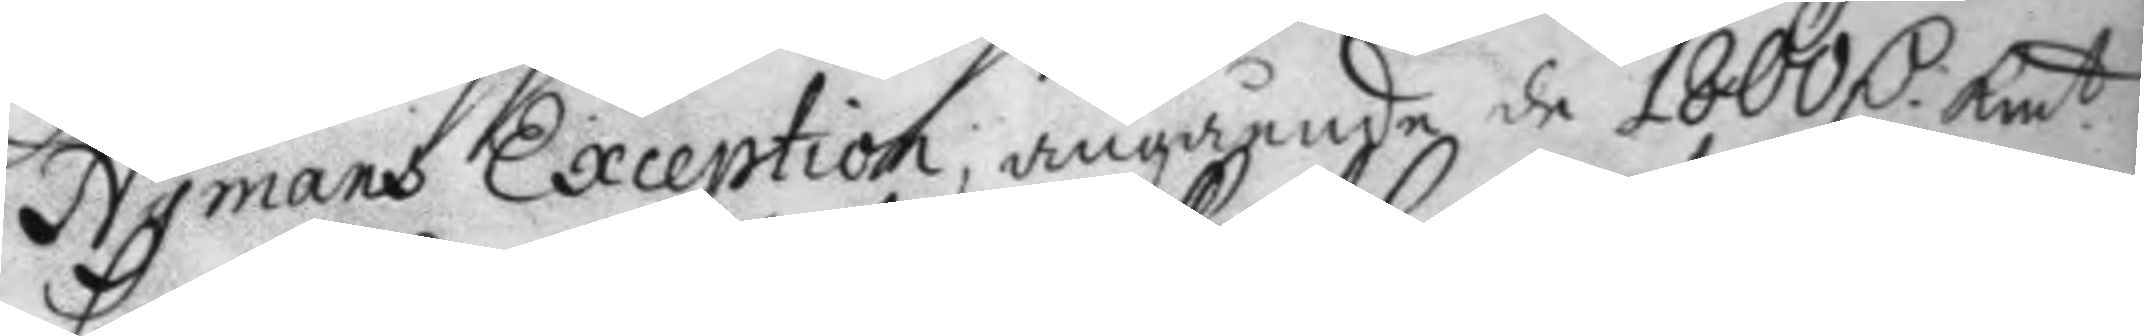Nymans Exception; angående de 1800 D:r Kmt 
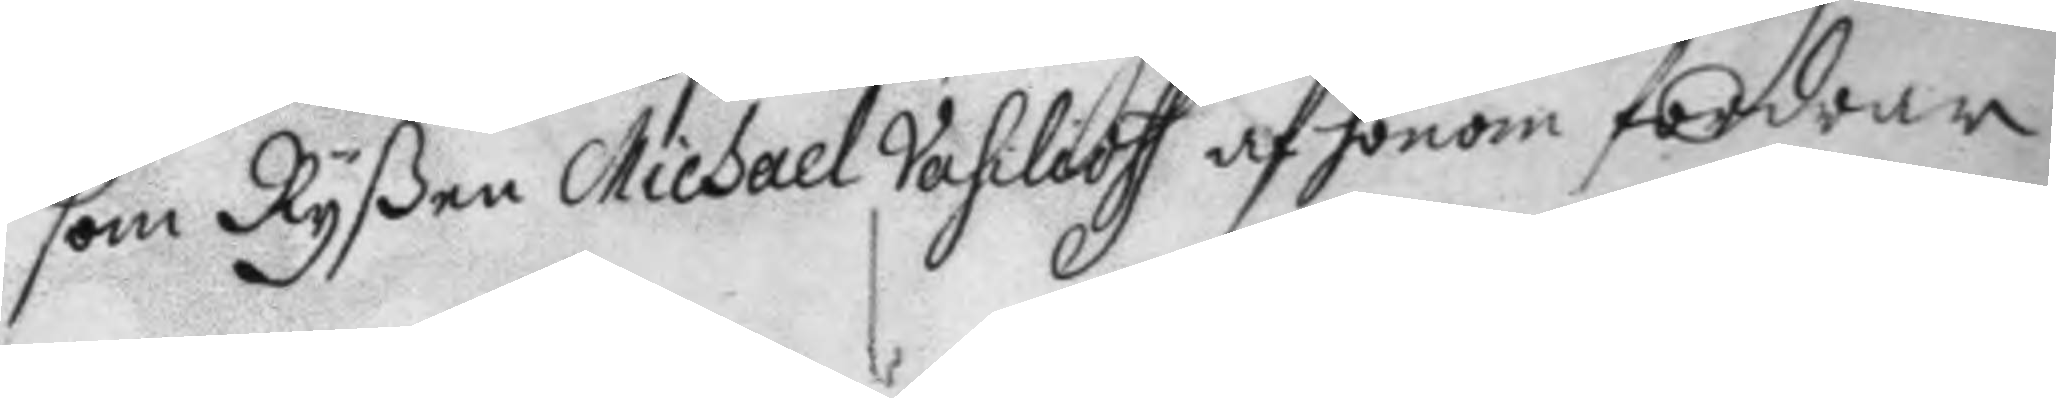som Ryßen Michael Vahilioff af honom fordrar.
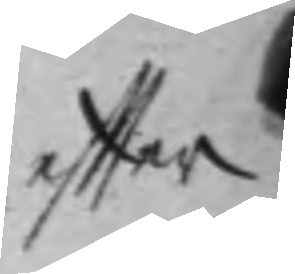effter
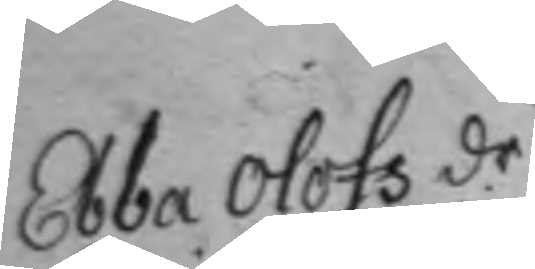Ebba Olofs dr
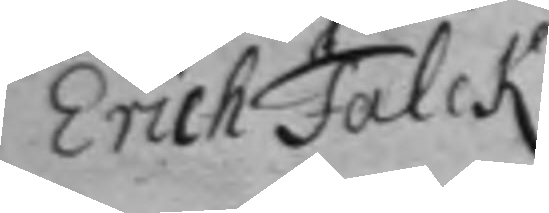Erich Falck
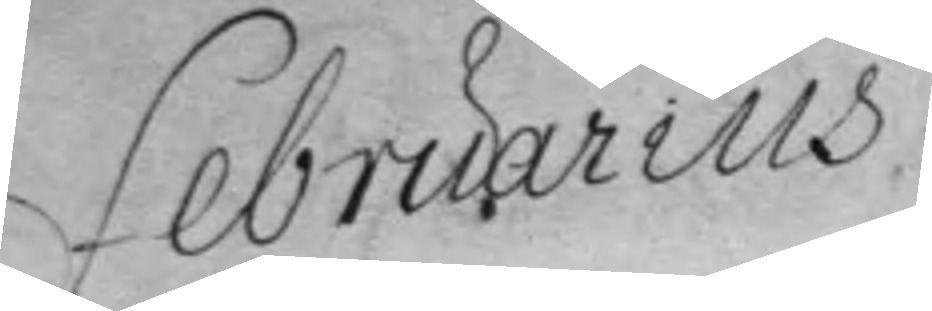Februarius
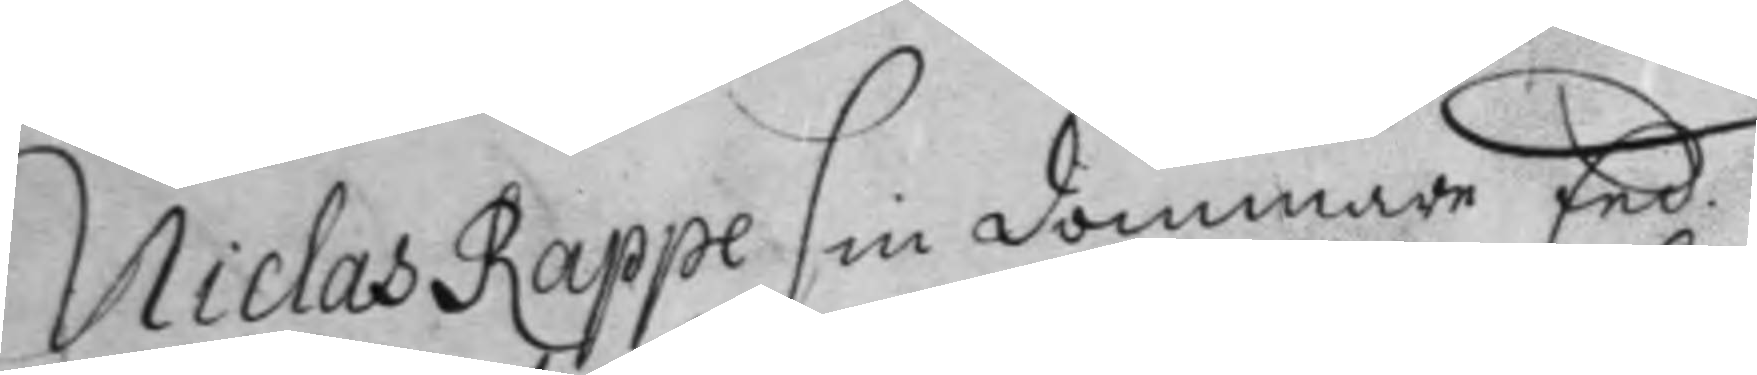Niclas Rappe sin dommare Eed. 
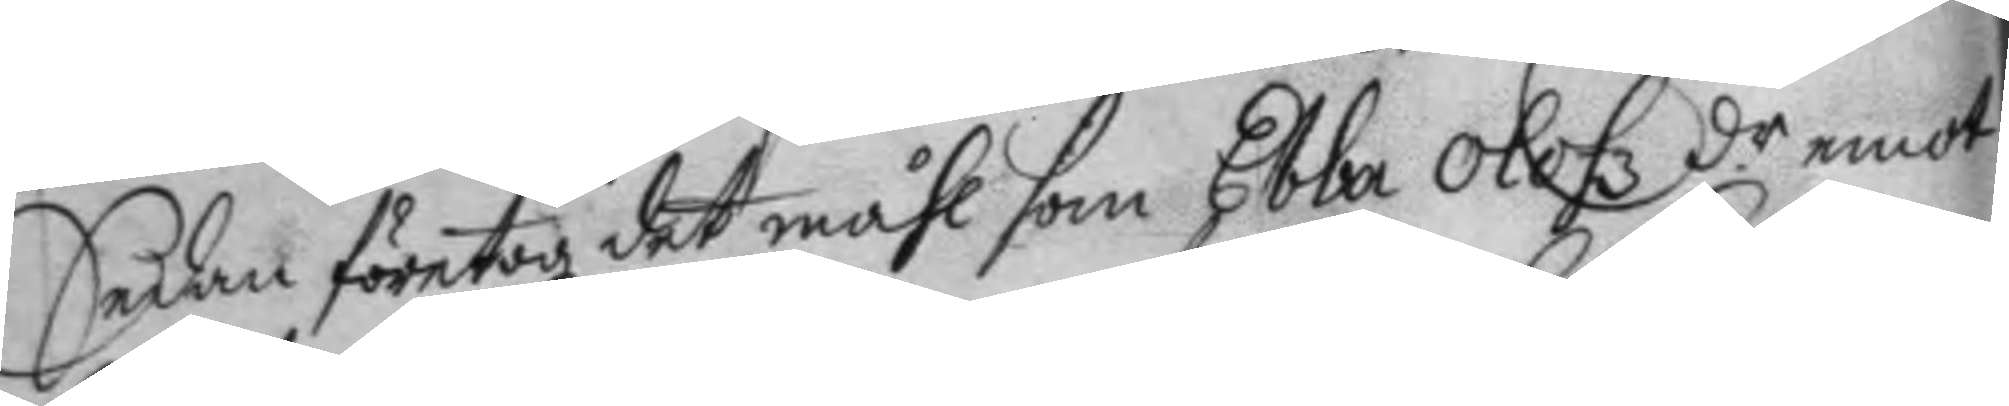Sedan företogz det måhl som Ebbaa Olofz dr emot 
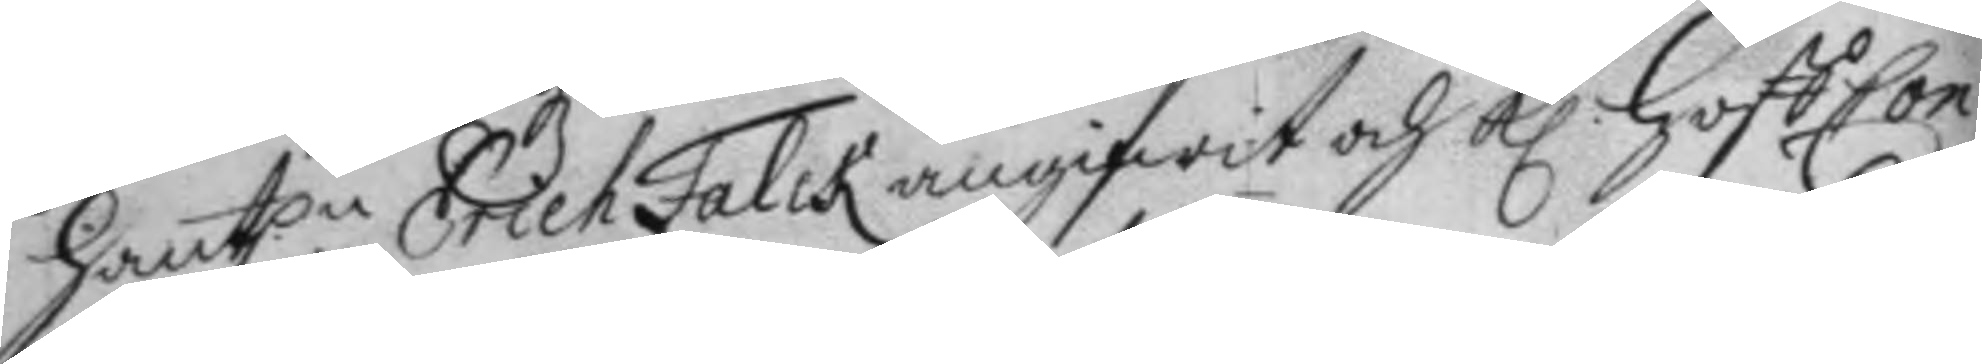Hant.n Erich Falck angifwit och Kl Hoff Con¬ 
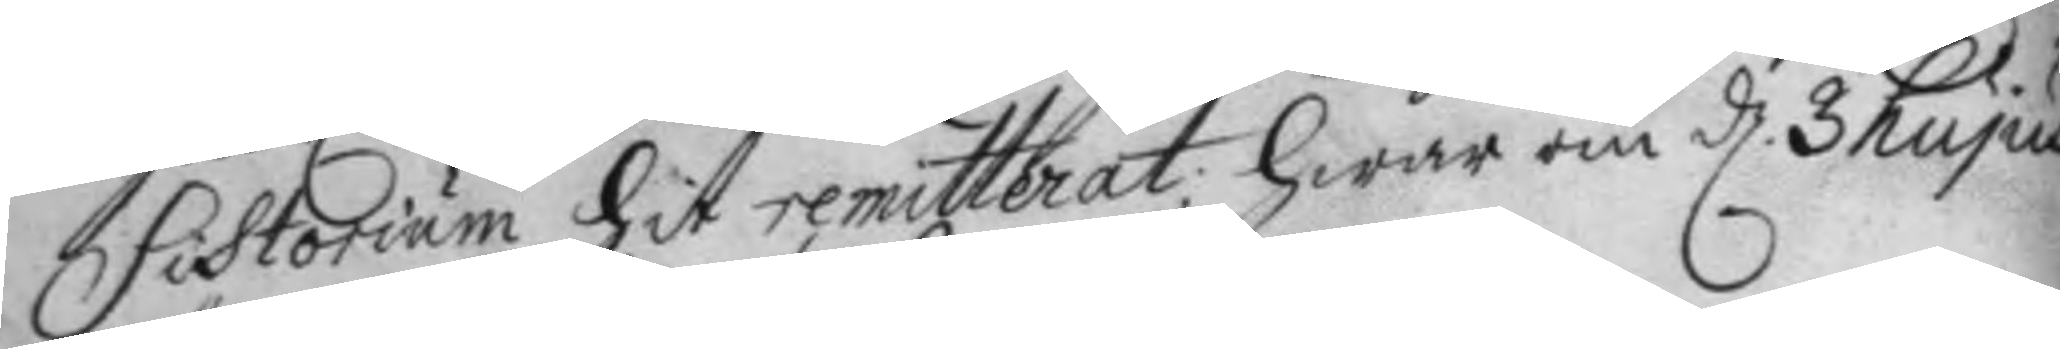sistorium hit remitterat; hwar om d. 3 hujus 
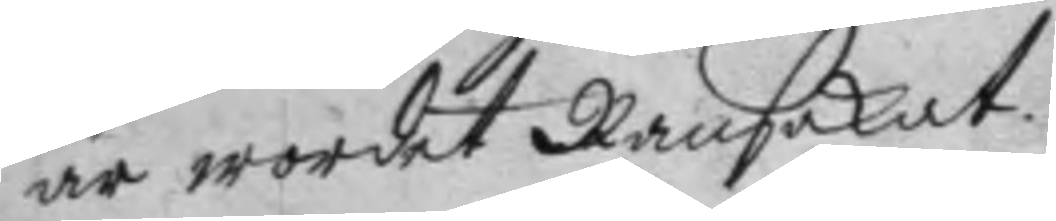är wordet Ransakat.
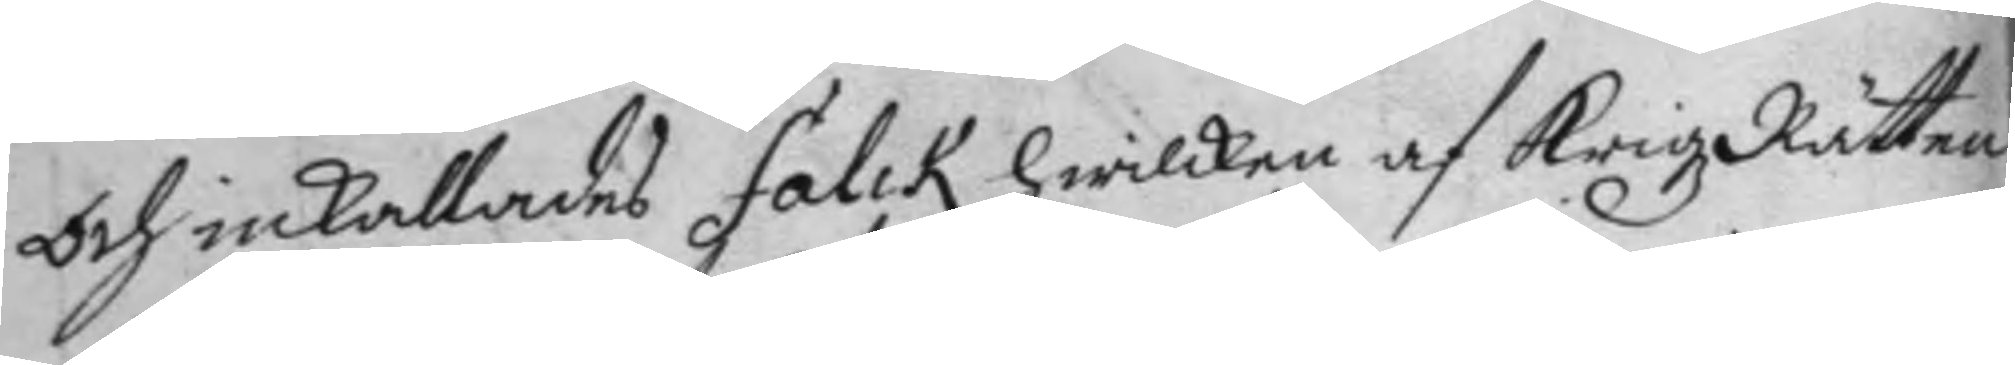Och inkallades Falck hwilken af KrigzRätten
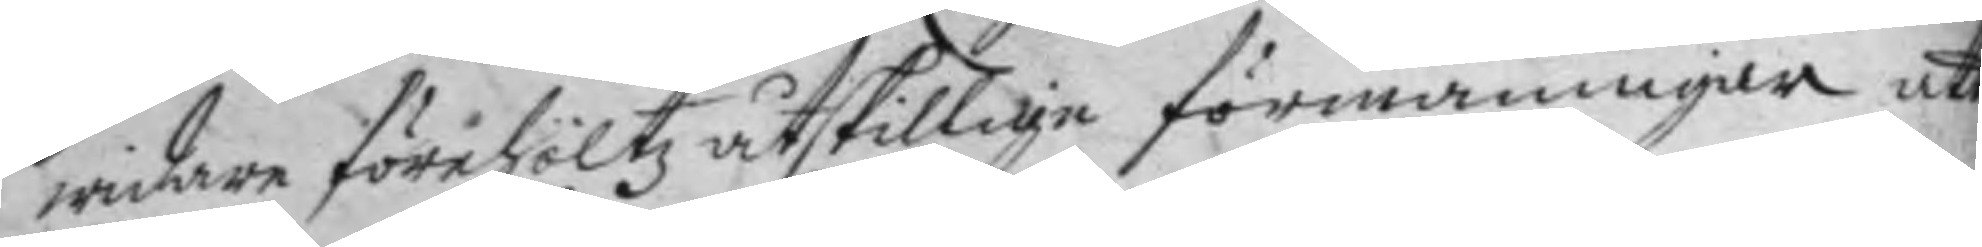widare förehöltz åtskillige förmaningar att
